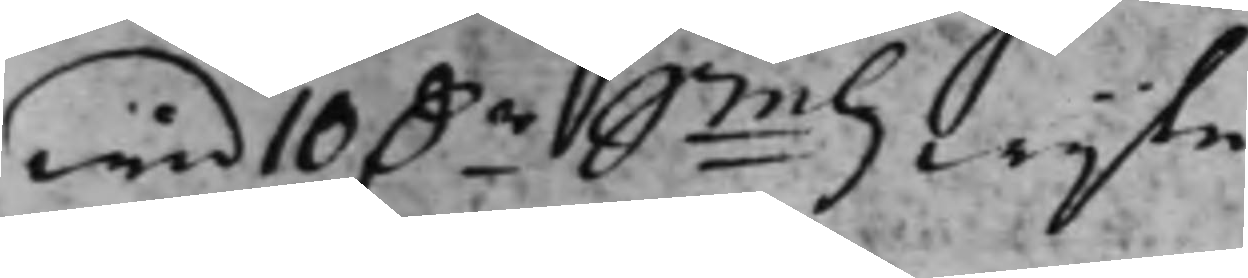wid 10 D.r Smtz wijte.
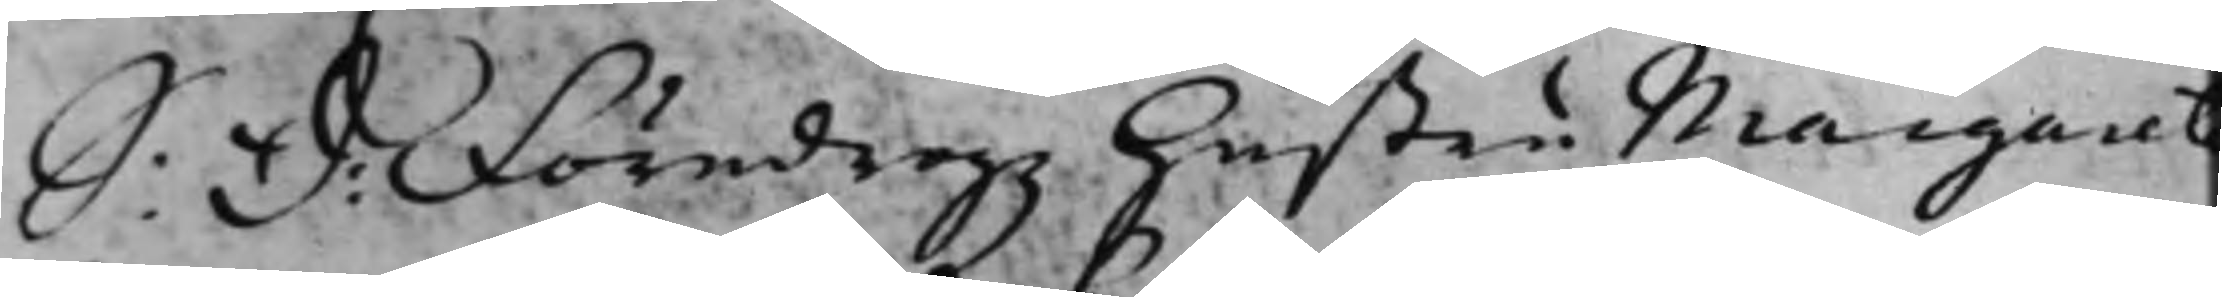S: D: Föredrogz Hustru Margaret
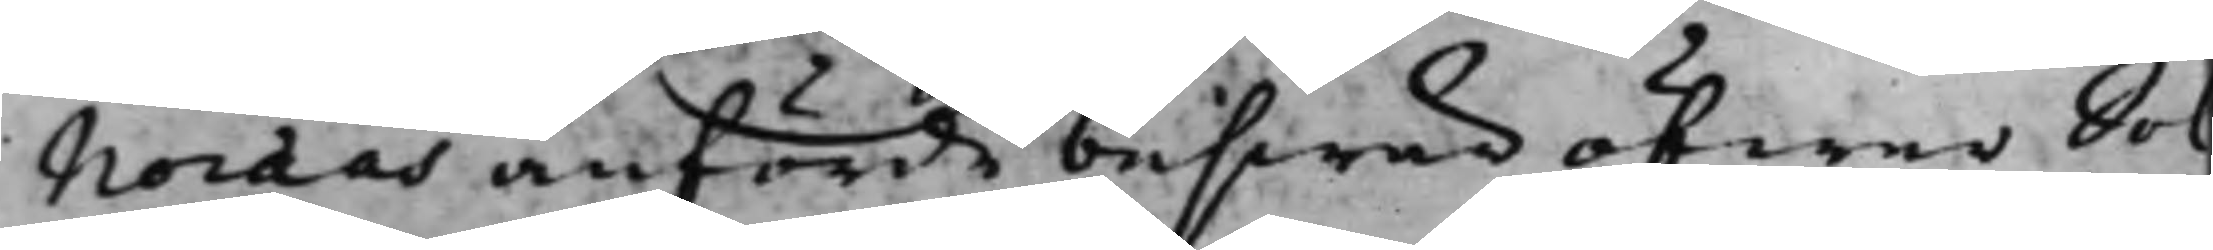Noræas anförde beswär öfwer Sol¬
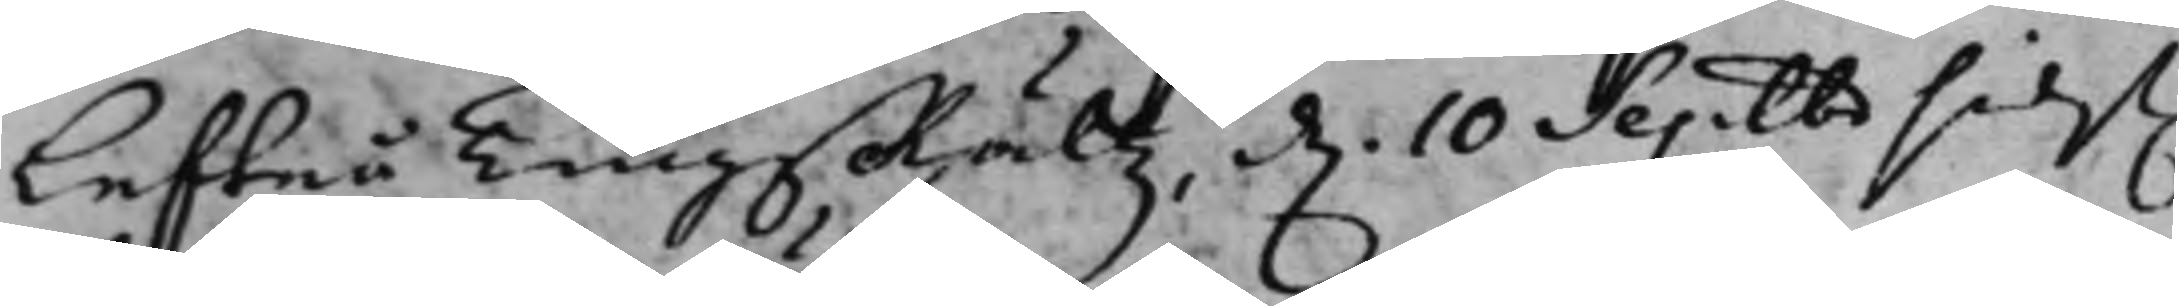lefteå TingsRättz d. 10 Septbr sidst.
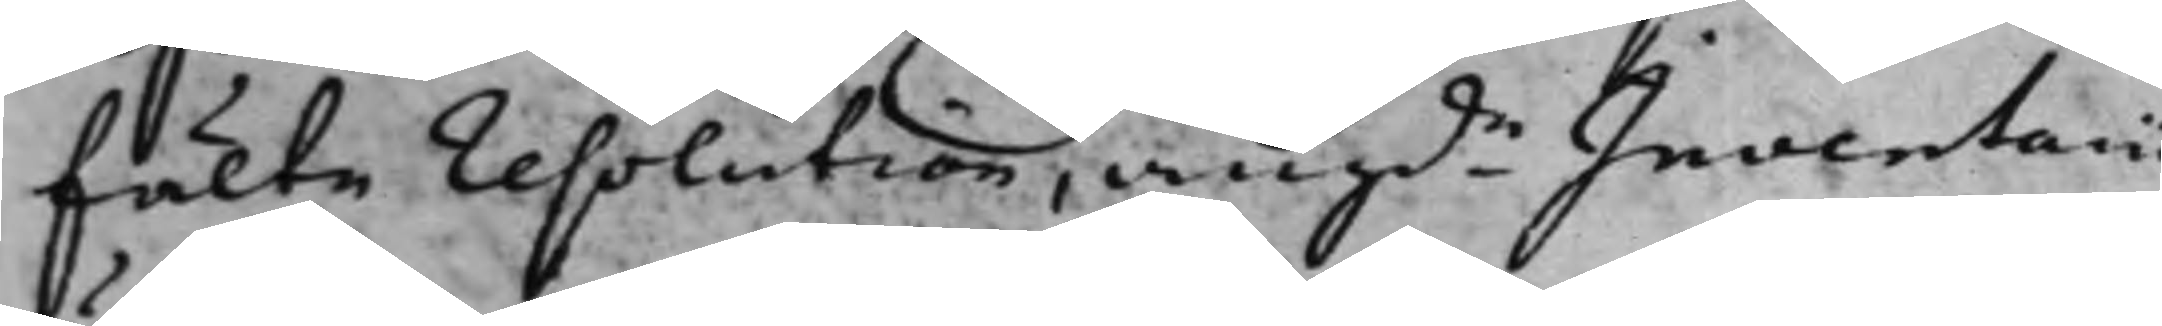fälte resolution, angde Inventarii
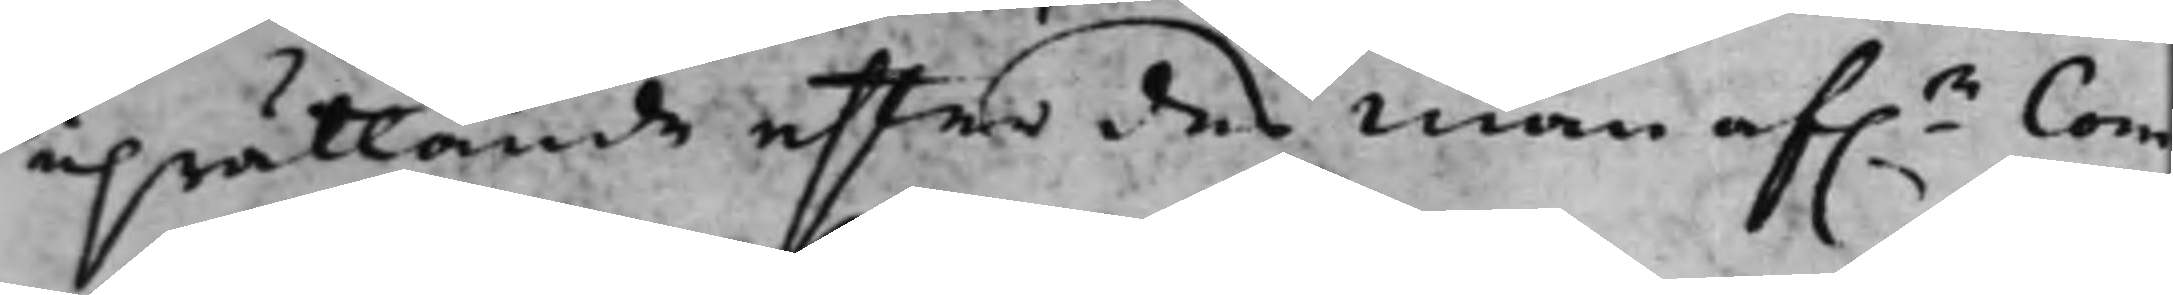uprättande efter des man af.e Com¬
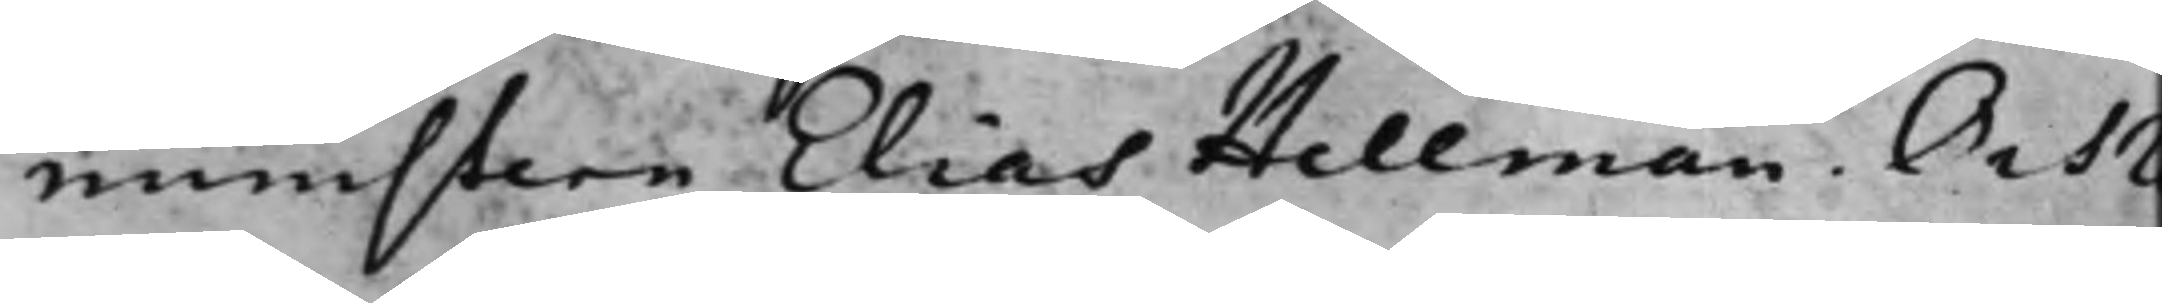ministern Elias Hellman. Och Re¬
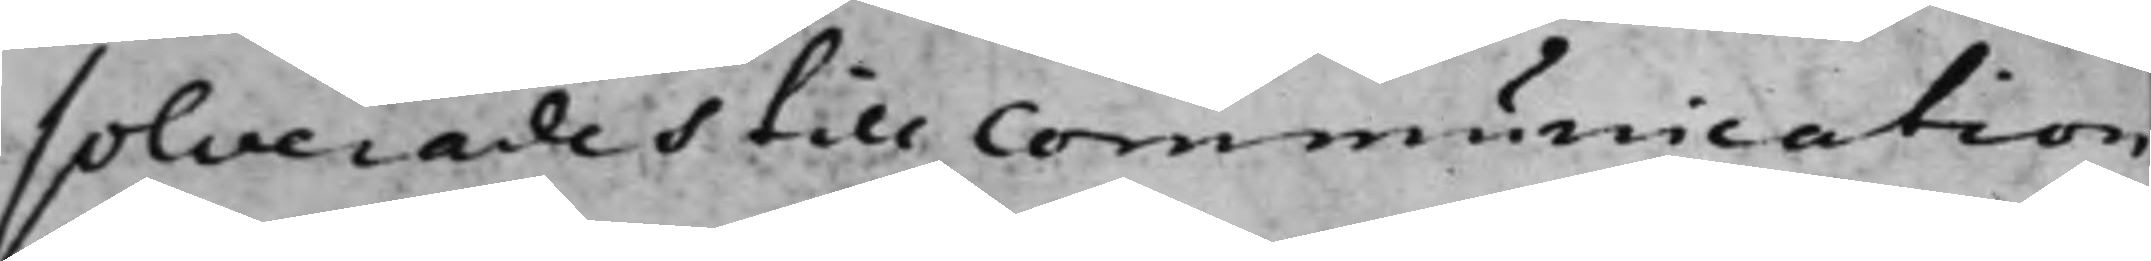solverades till Communication
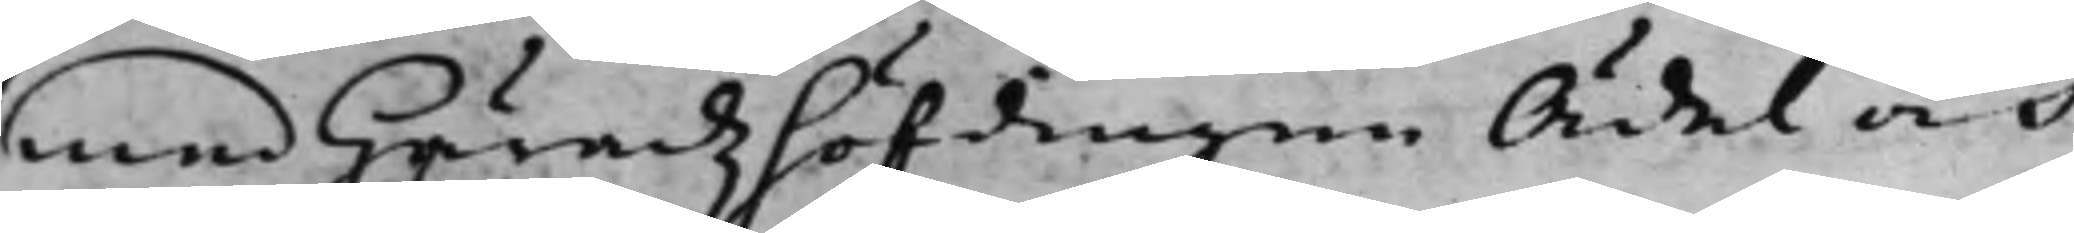med Häradzhöfdingen Ädel och
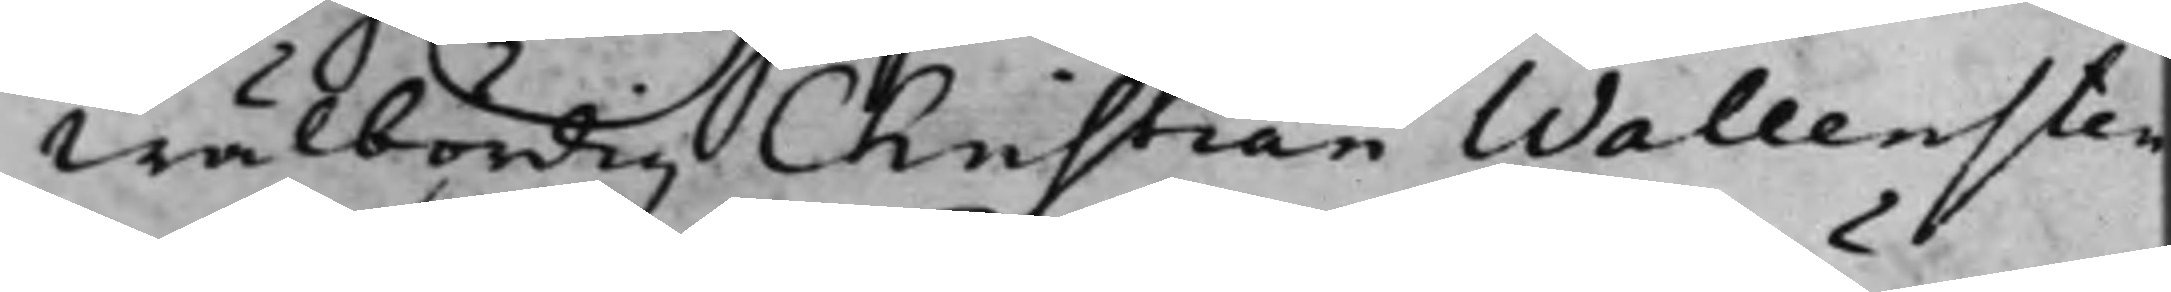Wälbördig Christian Wallensten
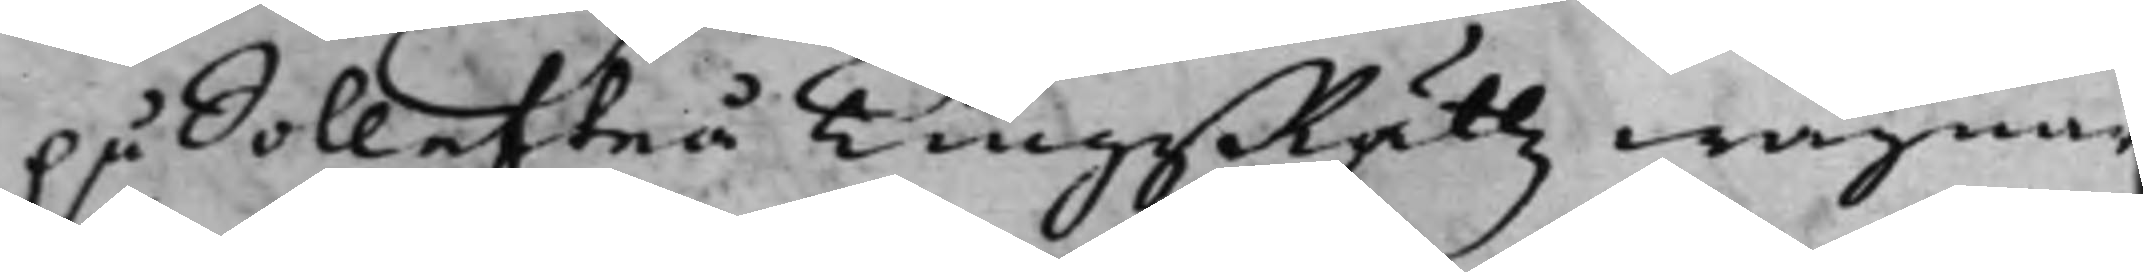på Sollefteå TingsRättz wägnar
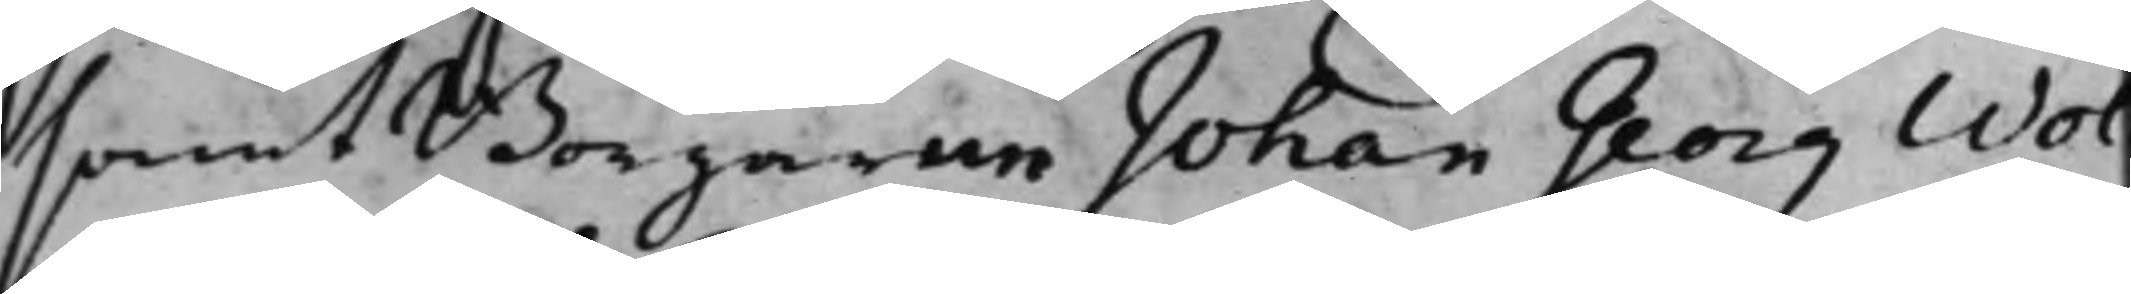samt Borgarne Johan Georg Wol¬
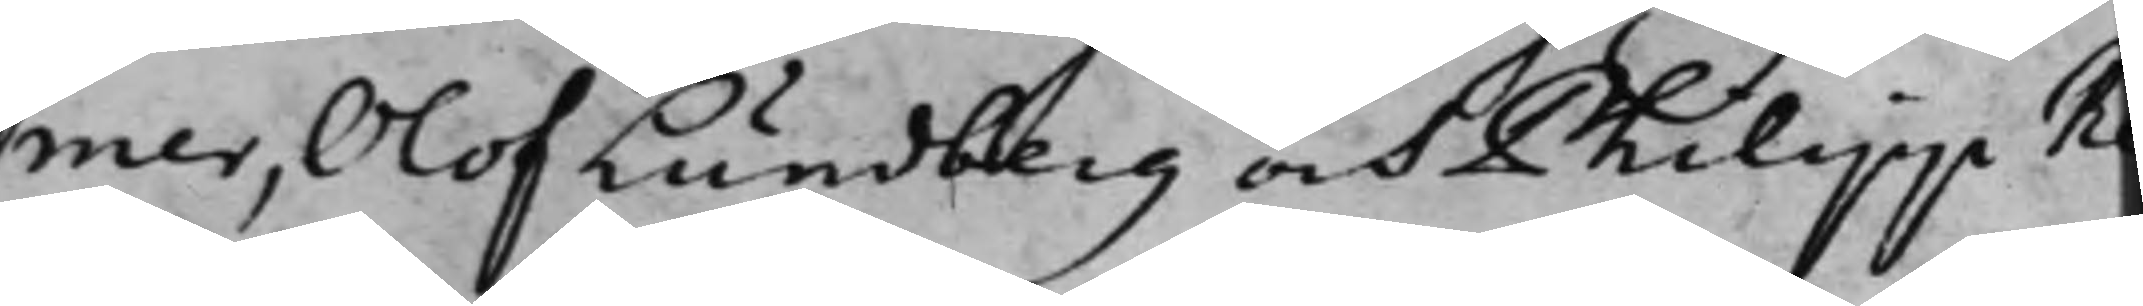mer, Olof Lundberg och Philipp Re¬
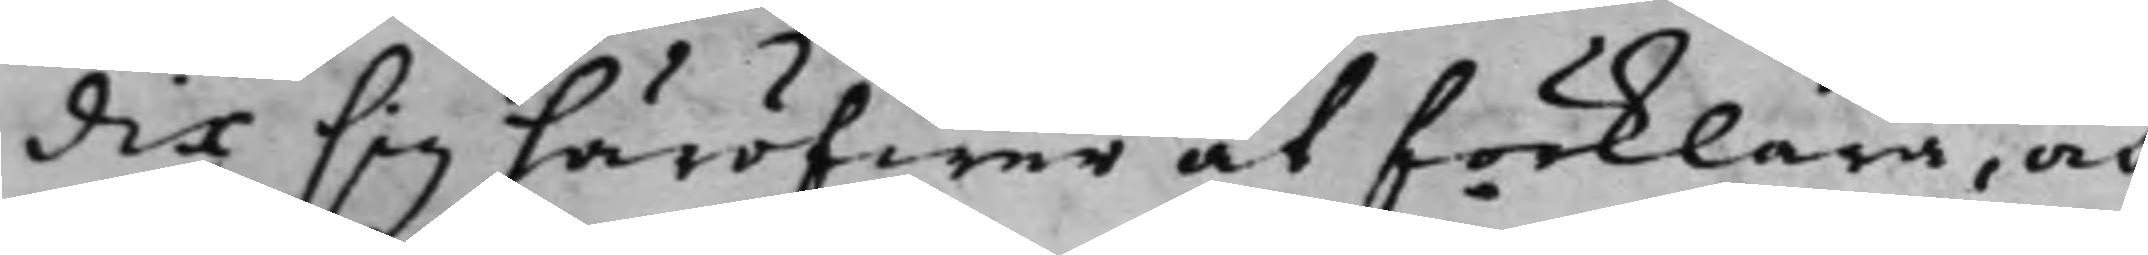dig sig häröfwer at förklara, och
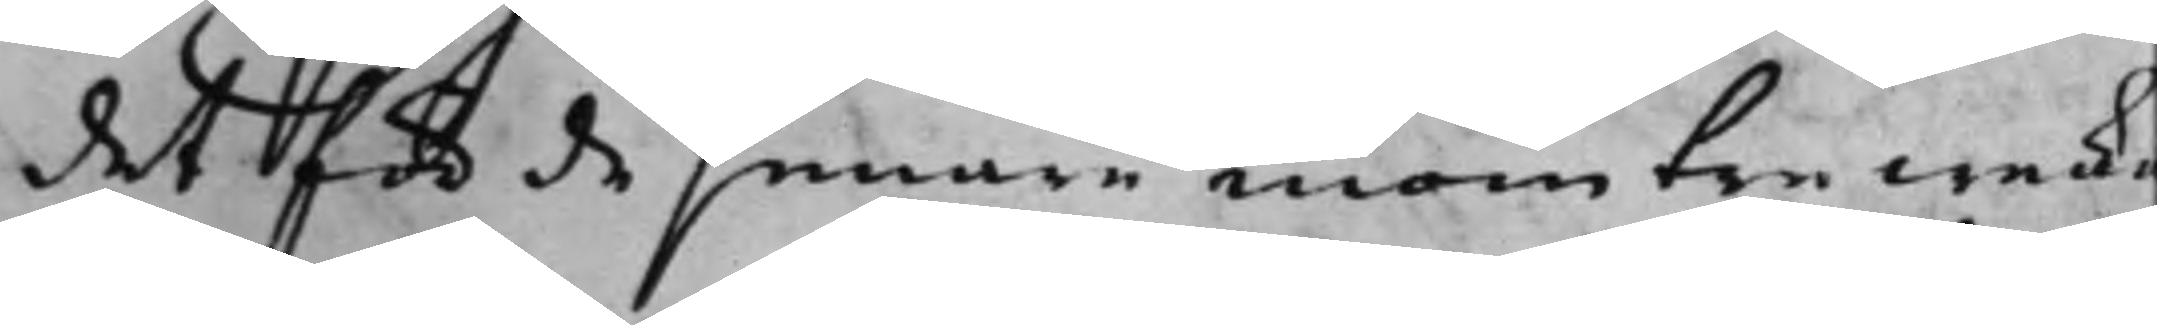det för de senare inom tre wecko
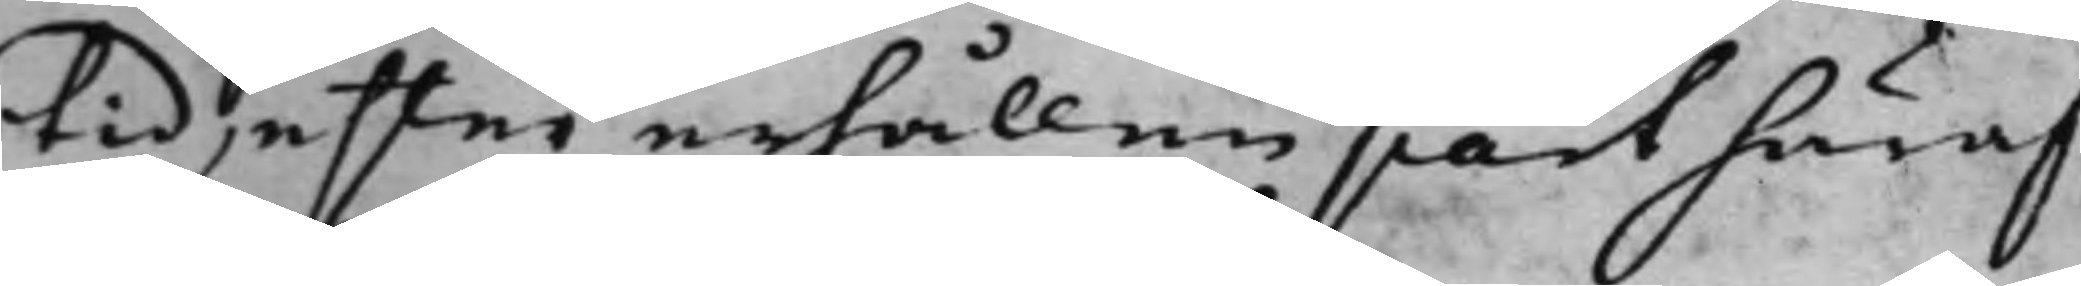tid, efter erhållen part häraf
